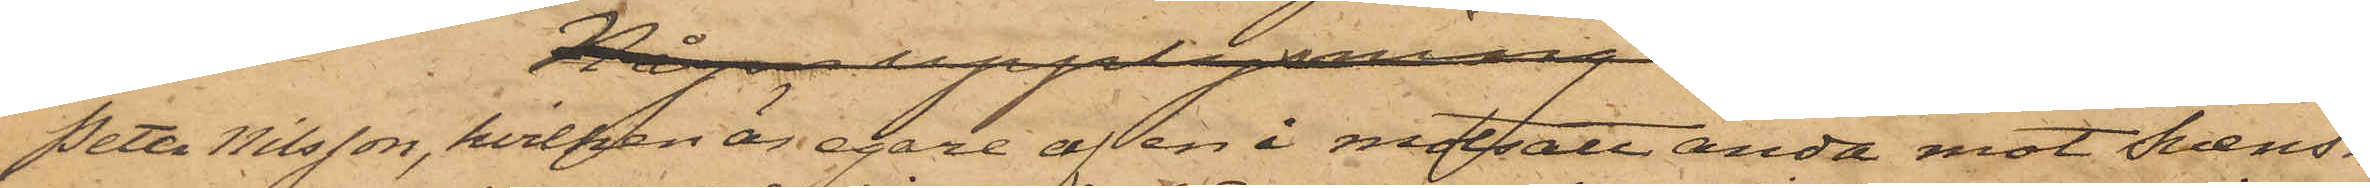Peter Nilsson, hvilken är egare af en i motsatt ända mot Svens¬
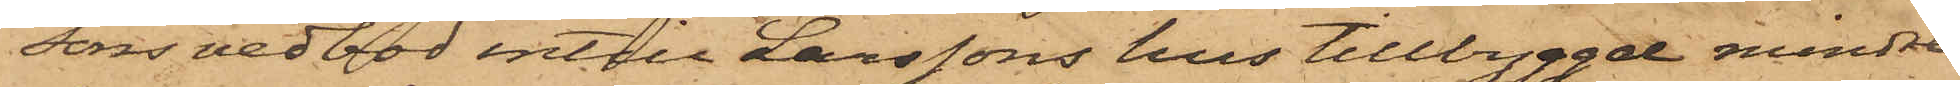sons vedbod intill Larssons hus tillbyggde mindre
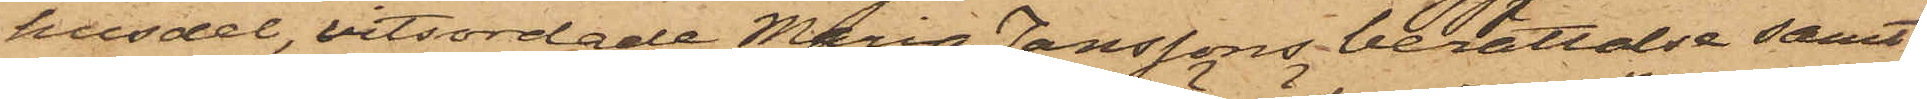husdel, vitsordade Maria Janssons berättelse samt
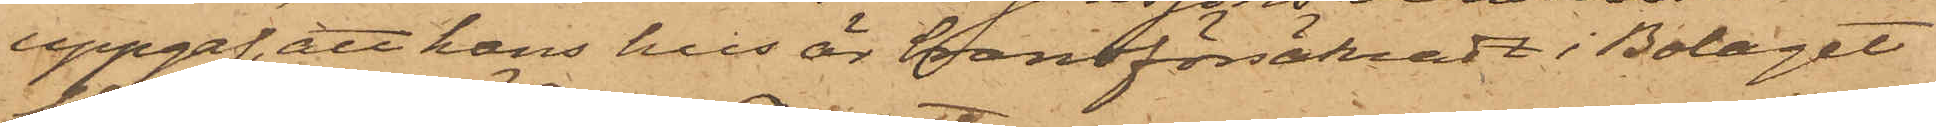uppgaf, att hans hus är brandförsäkradt i Bolaget
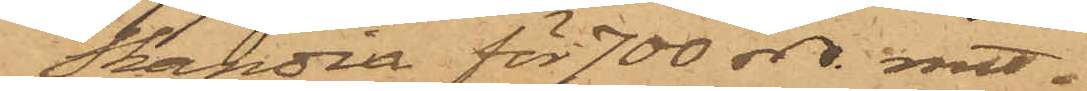Skandia för 700 rdr rmt.
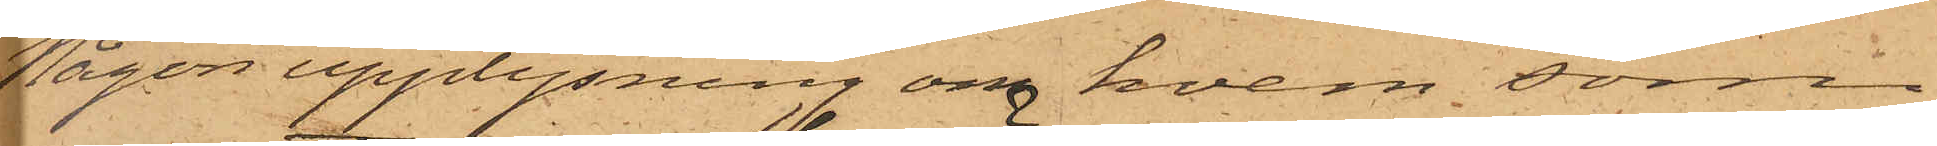Någon upplysning om hvem, som
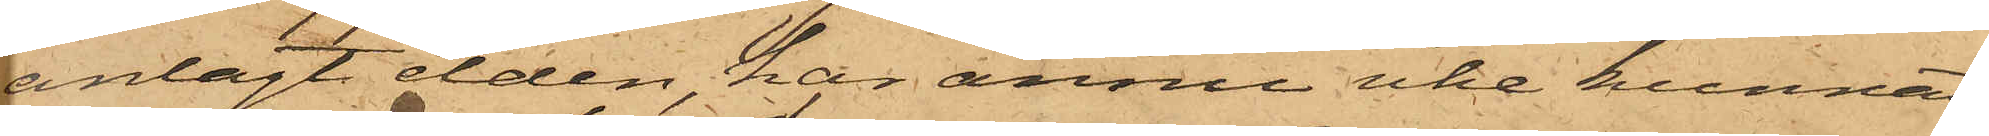anlagt elden, har ännu icke kunnat
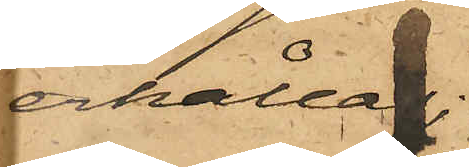erhållas;
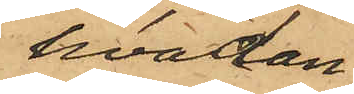hvadan
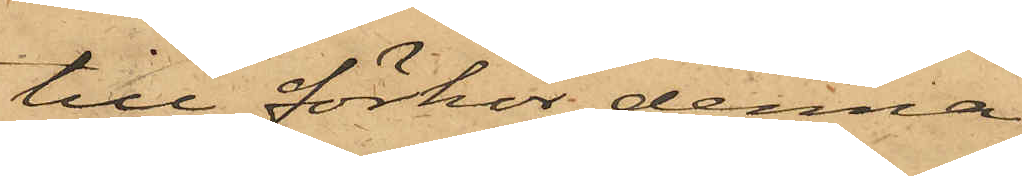till förhör denna
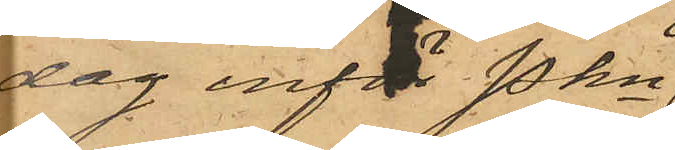dag inför Pkn
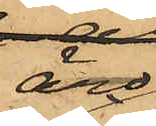äro
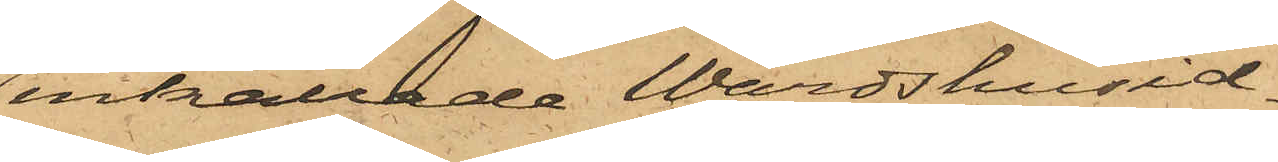inkallade Wärdshusid¬
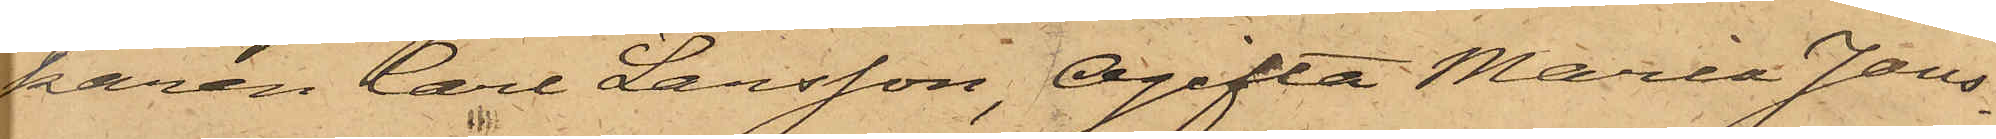karen Carl Larsson, Ogifta Maria Jans¬
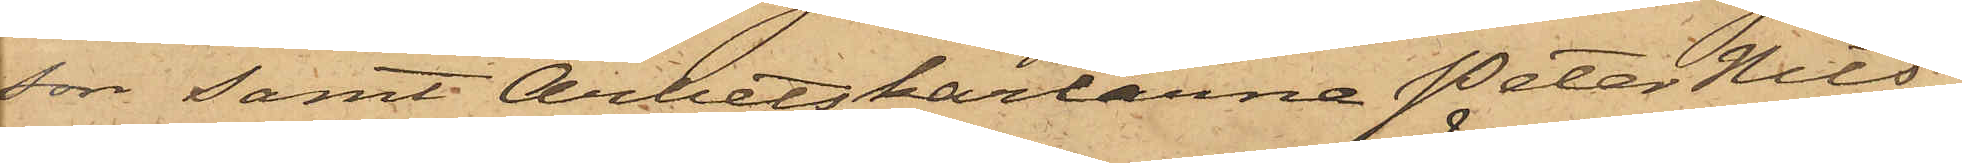son samt Arbetskarlarna Peter Nils¬
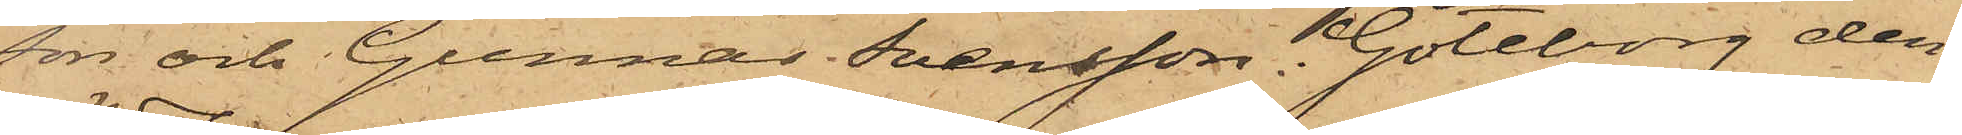son och Gunnar Svensson. Göteborg den
